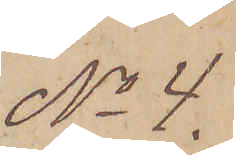No 4.
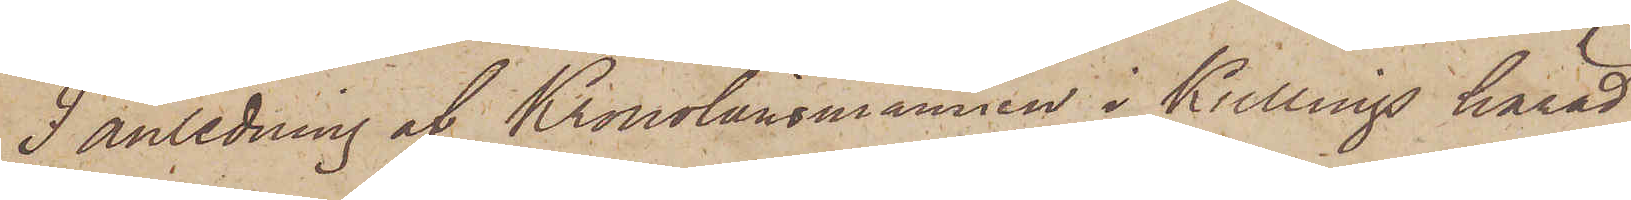I anledning af Kronolänsmannen i Kullings härad
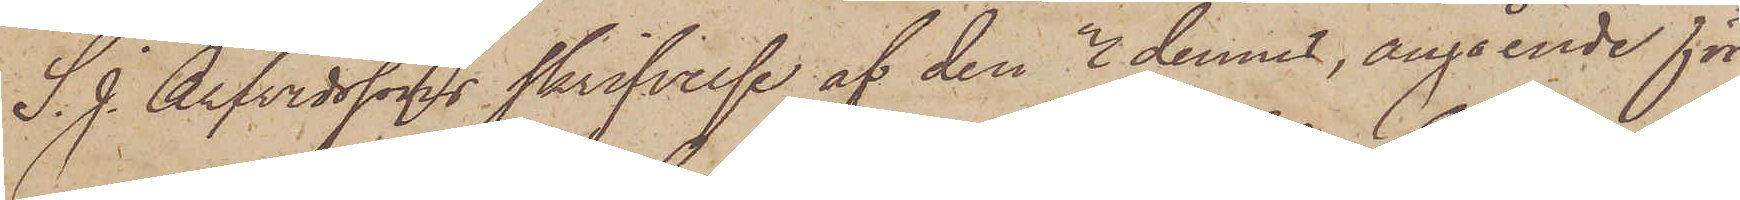S. J. Arfvidssons skrifvelse af den 3 dennes, angående för
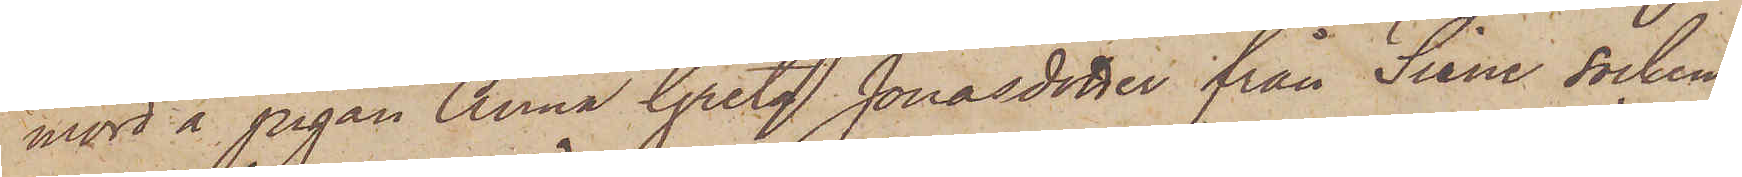mord å pigan Anna Greta Jonasdotter från Siene socken
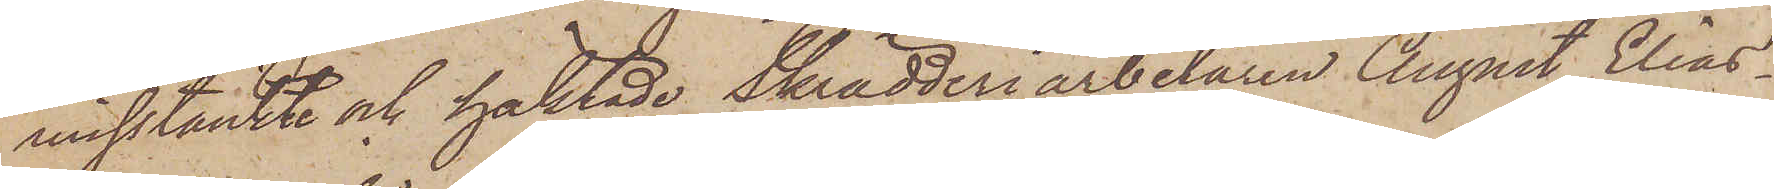misstänkte och häktade Skrädderiarbetaren August Elias¬
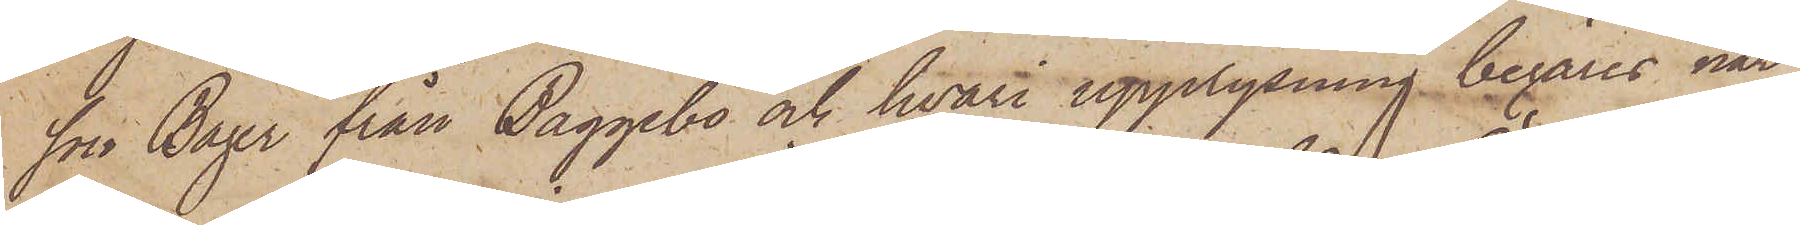son Bayer från Baggebo och hvari upplysning begäres när
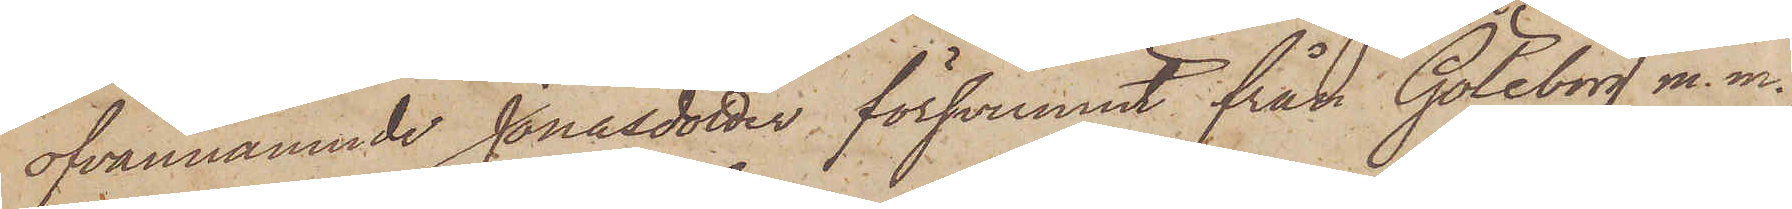ofvannämnde Jonasdotter försvunnit från Göteborg m. m.
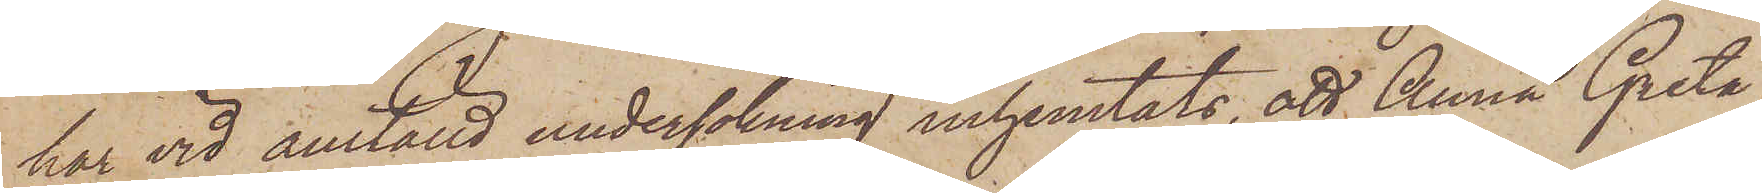har vid anställd undersökning inhemtats, att Anna Greta
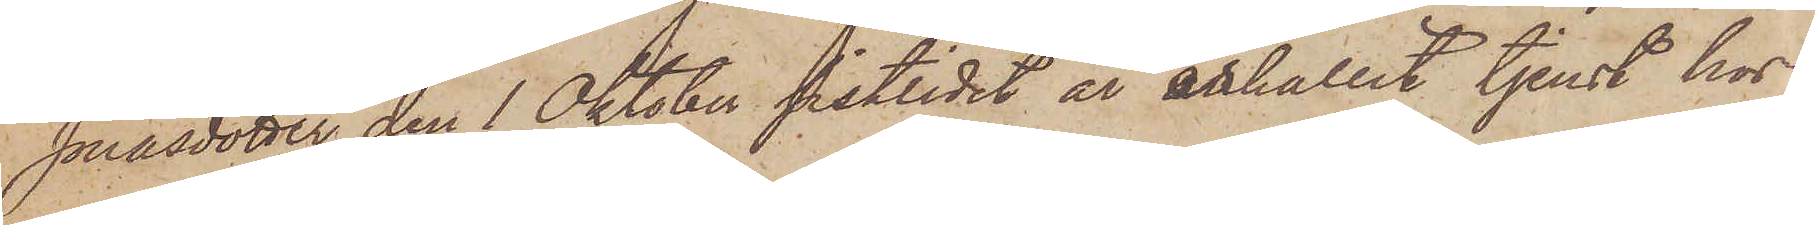Jonasdotter den 1 Oktober sistlidet år anhållit tjenst hos
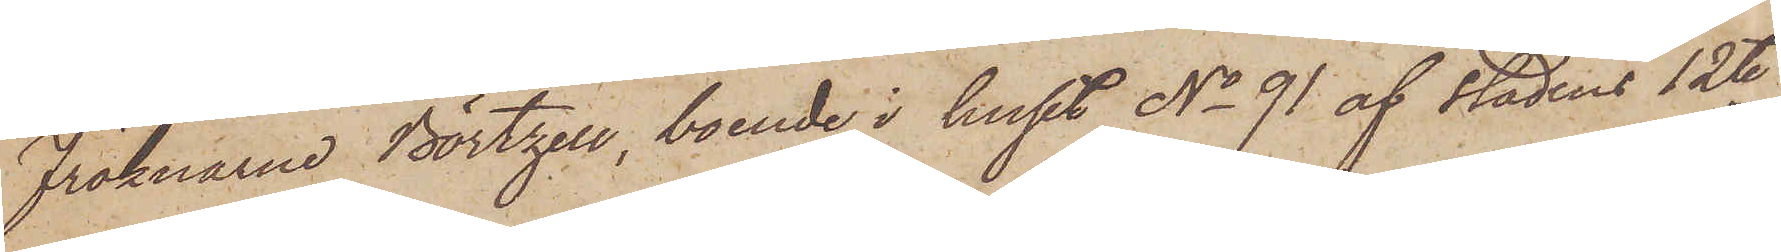fröknarne Börtzell, boende i huset No 91 af stadens 12te
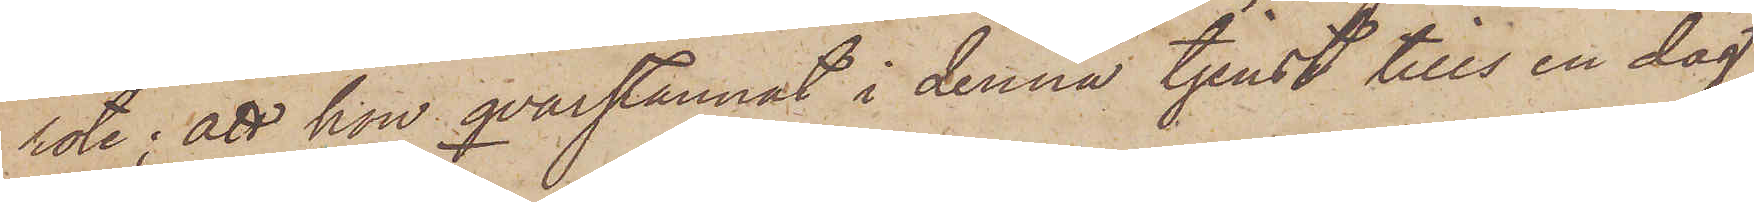rote; att hon qvarstannat i denna tjenst tills en dag
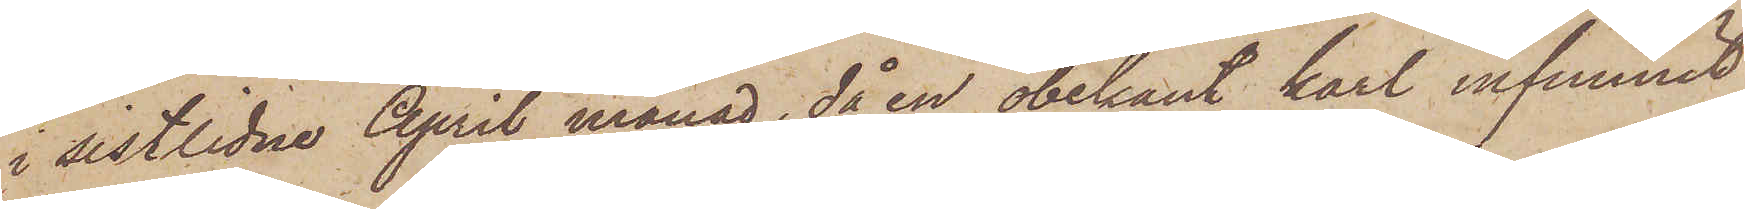i sistlidne April månad, då en obekant karl infunnit
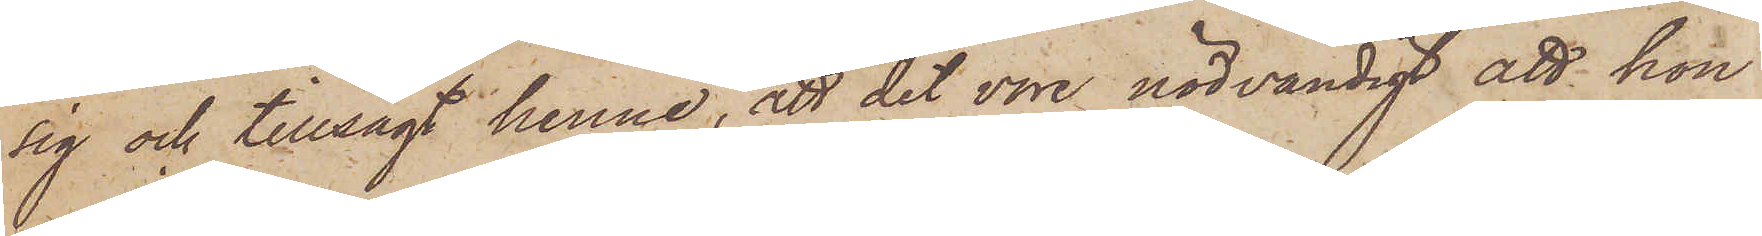sig och tillsagt henne, att det vore nödvändigt att hon
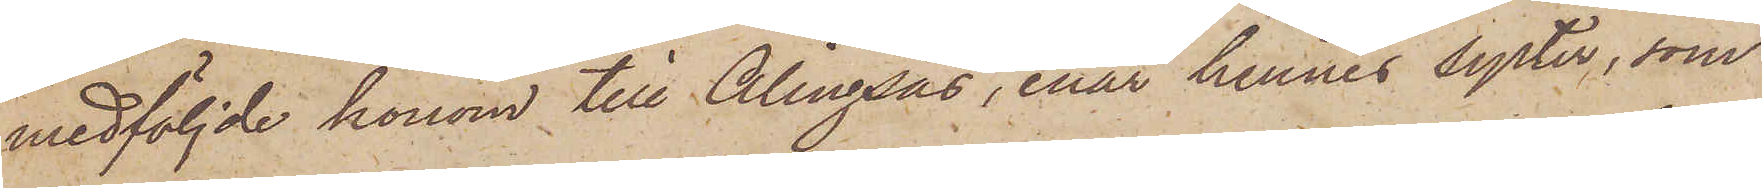medföljde honom till Alingsås, enär hennes syster, som
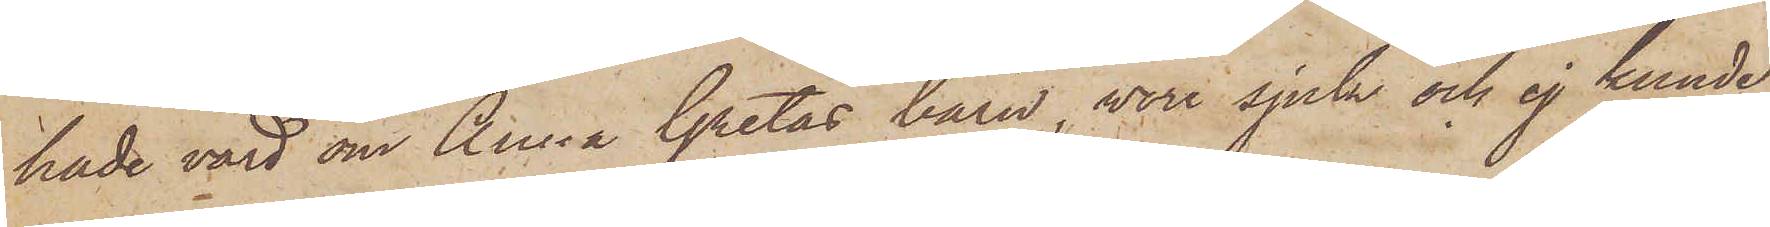hade värd om Anna Gretas barn, vore sjuk och ej kunde
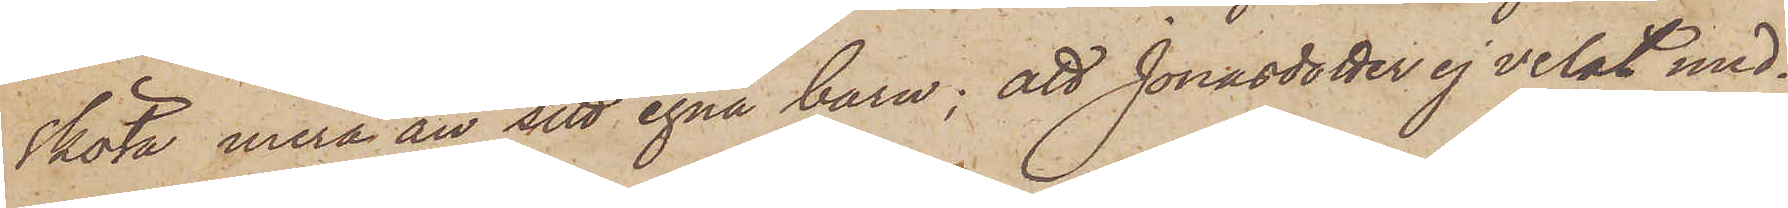sköta mera än sitt egna barn; att Jonasdotter ej velat med¬
